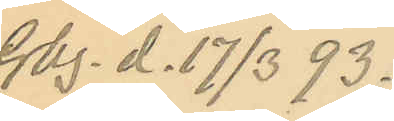Gbg. d. 17/3 93.
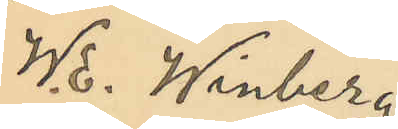W. E. Winberg
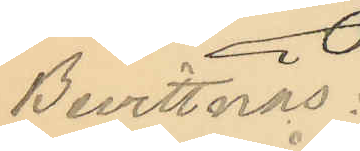Bevittnas:
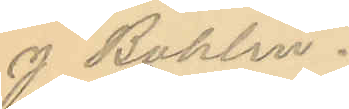J Bohlin.
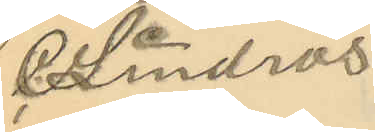  C Lindros
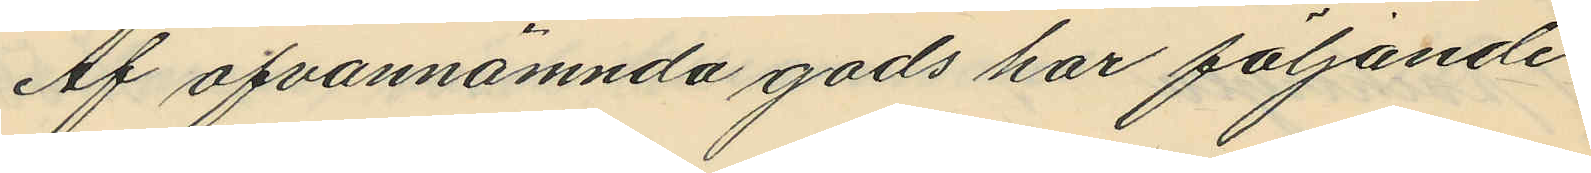Af ofvannämnda gods har följande
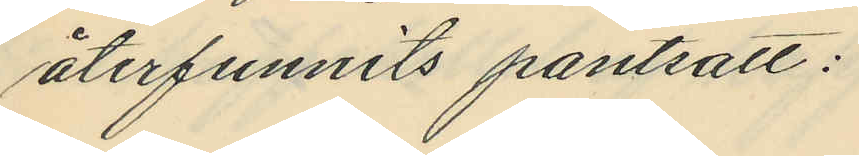återfunnits pantsatt:
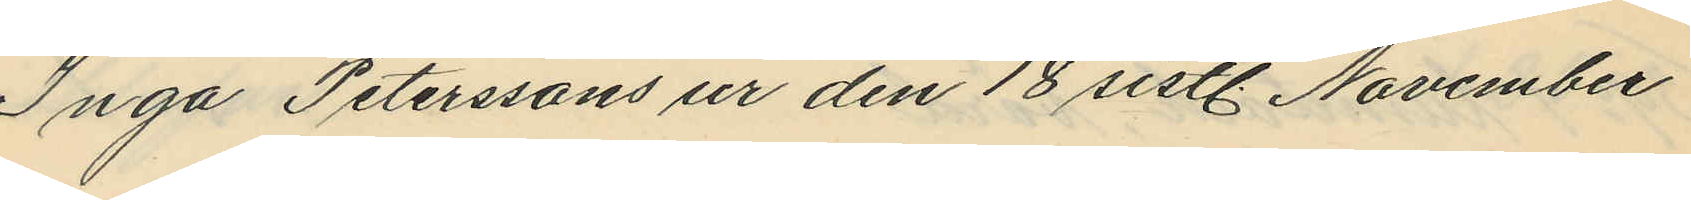Inga Peterssons ur den 18 sistl. November
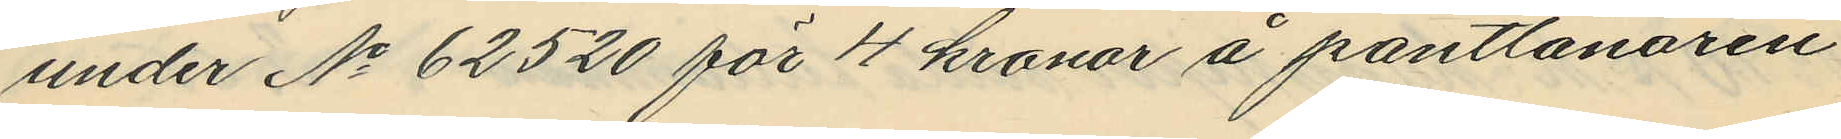under No 62520 för 4 kronor å pantlånaren
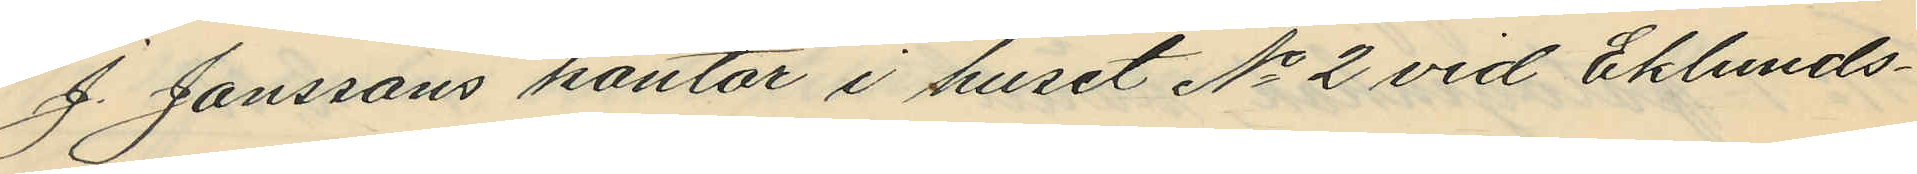J. Janssons kontor i huset No 2 vid Eklunds¬
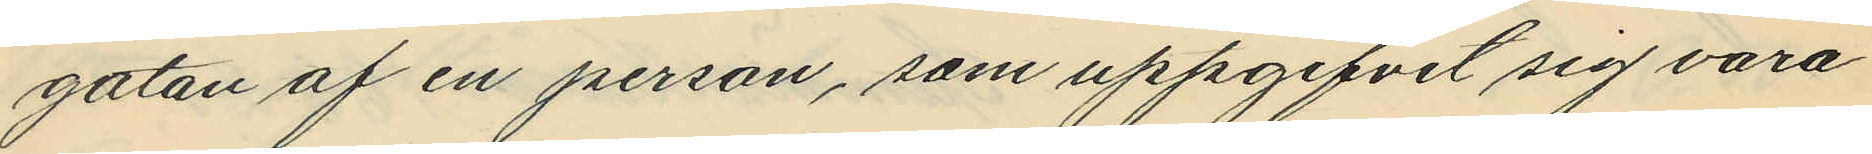gatan af en person, som uppgifvit sig vara
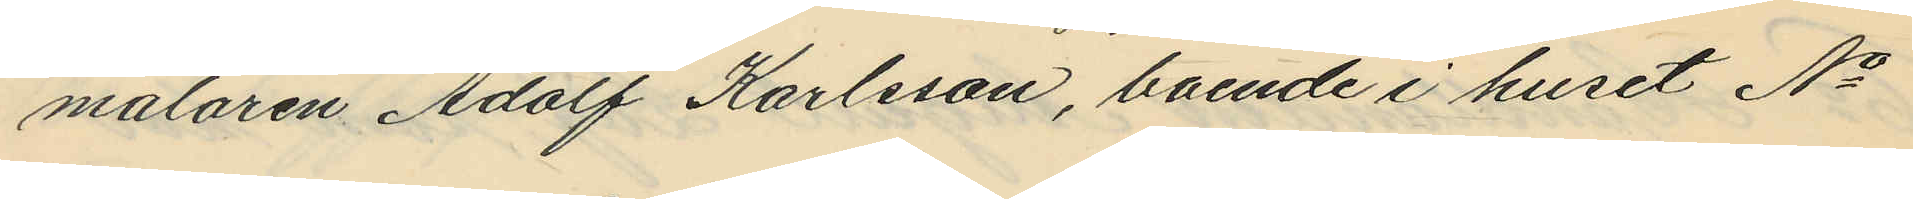målaren Adolf Karlsson, boende i huset No
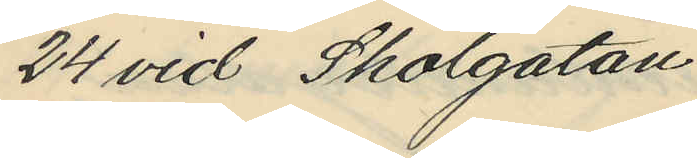24 vid Skolgatan.
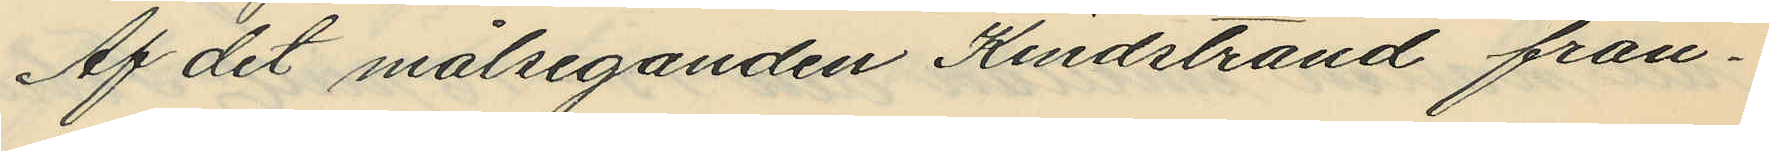Af det målseganden Kindstrand från¬
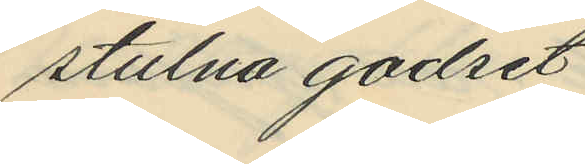stulna godset
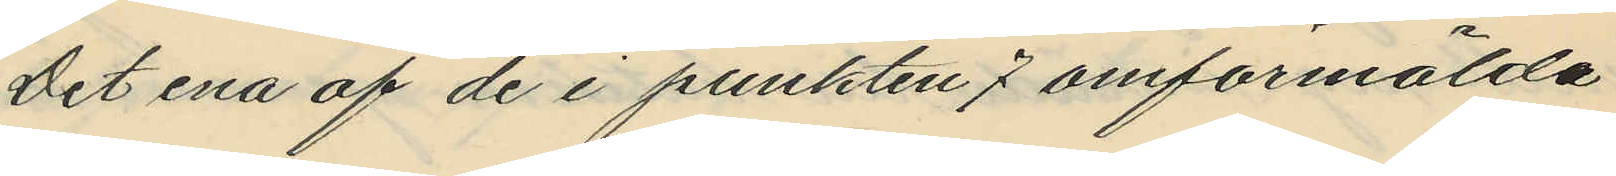Det ena af de i punkten 7 omförmälda
